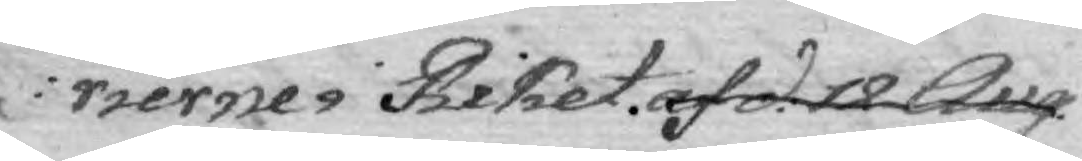rierne i Riket. af d. 12 Aug.
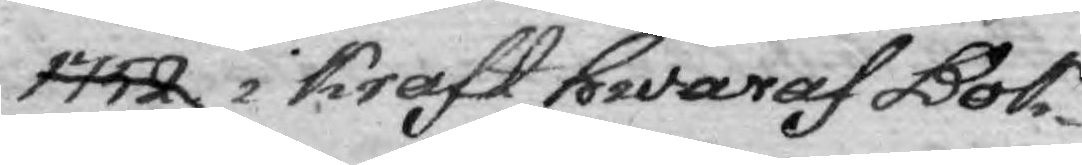1752 i Kraft hwaraf Bok¬
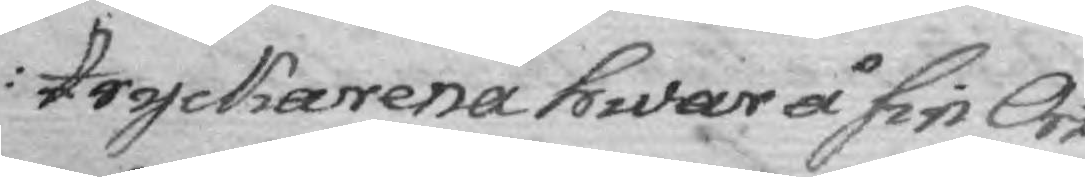tryckarena hwar å sin Ort
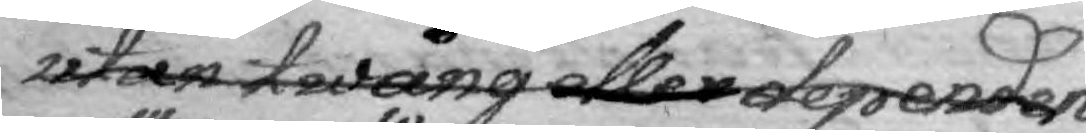utan twång eller dependen¬
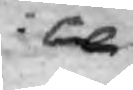ce
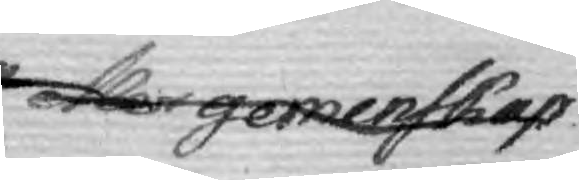eller gemenskap
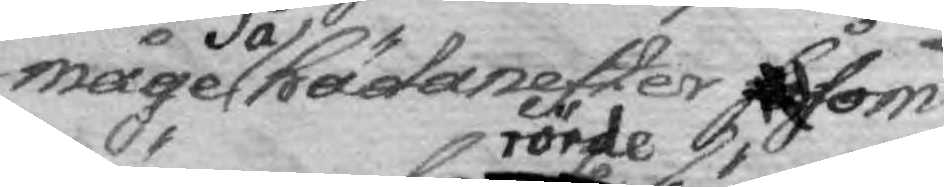måge så hädanefter såsom
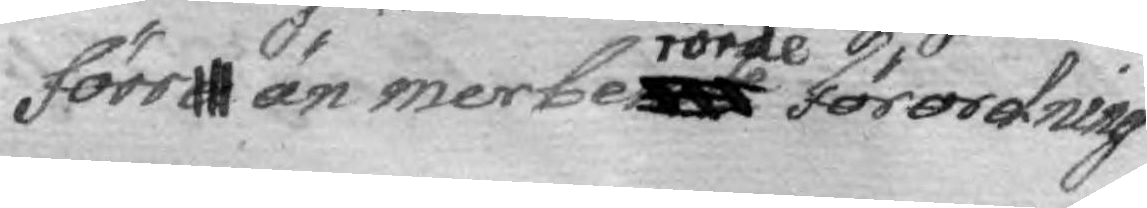förra än mer berörde Förordning
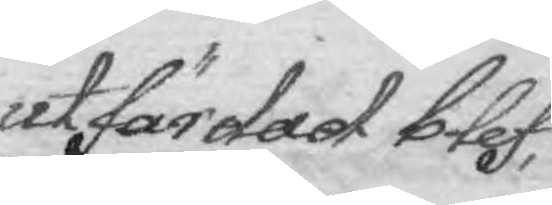utfärdad blef,
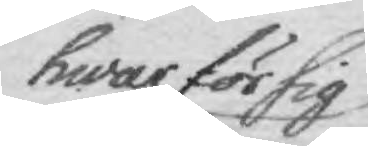hwar för sig
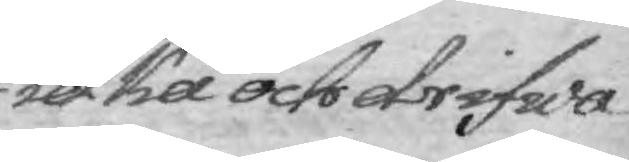idka och drifwa
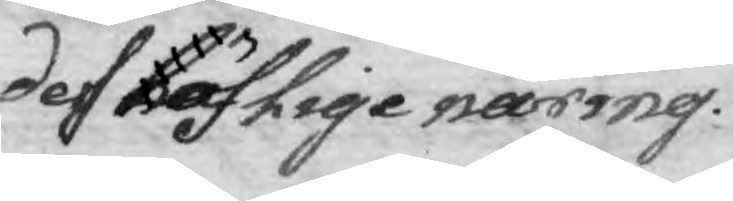dess böflige näring.
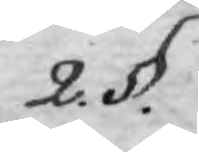2. §.
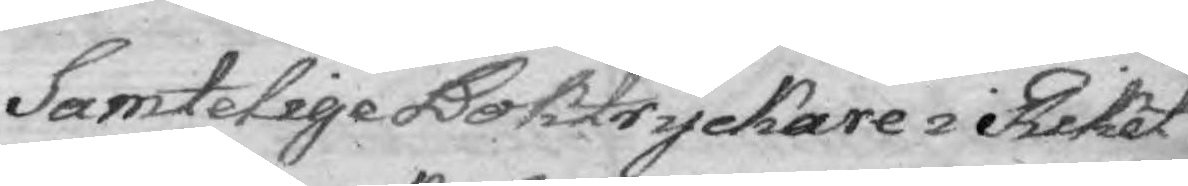Samtelige Boktryckare i Riket
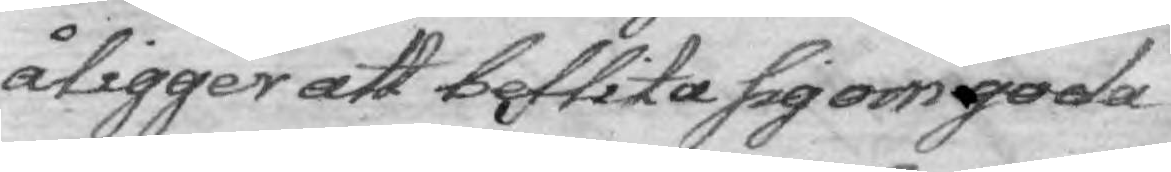åligger att beflita sig om goda
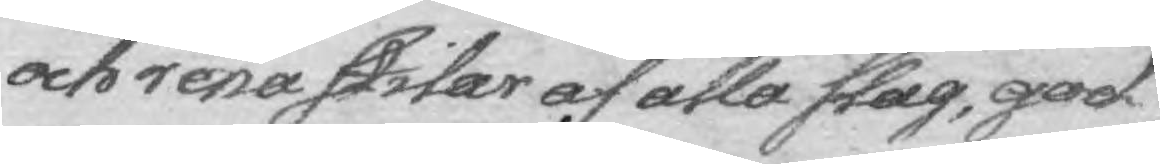och rena stitar af alla slag, god
